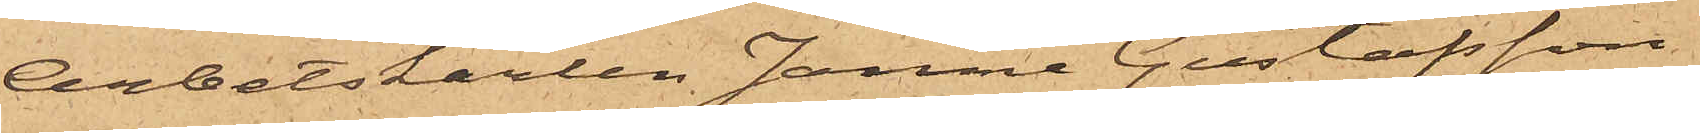Arbetskarlen Janne Gustafsson
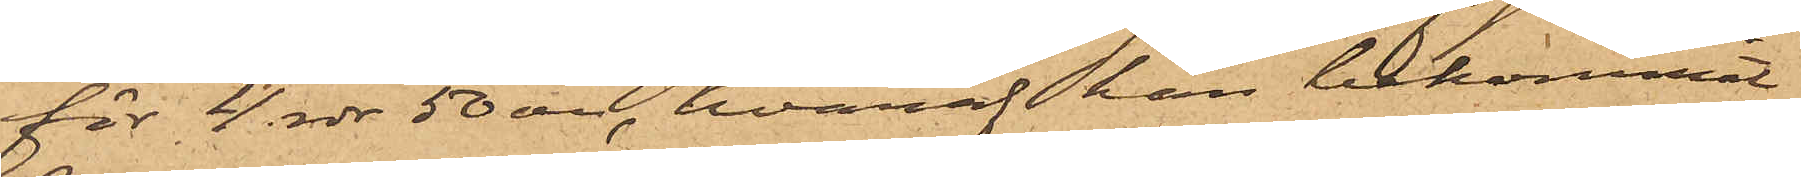för 4 rdr 50 öre, hvaraf han bekommit
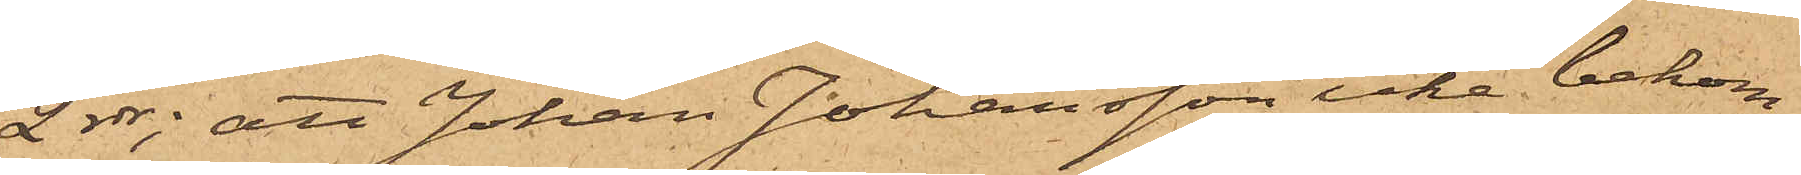2 rdr; att Johan Johansson icke bekom¬
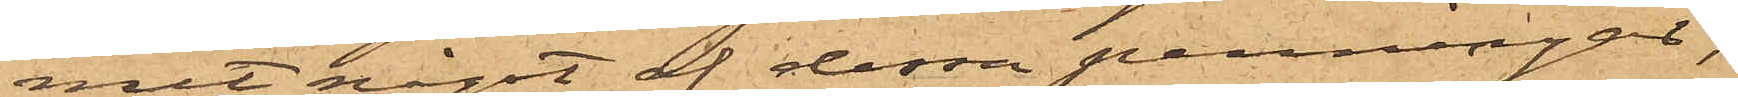mit något af dessa penningar;
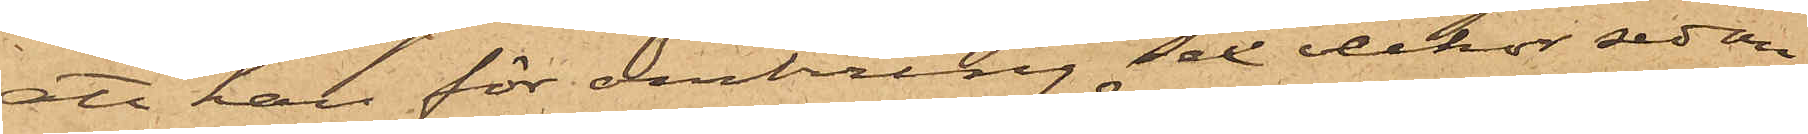att han för omkring Sex veckor sedan
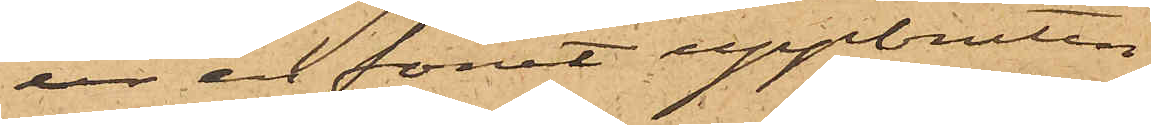ur en förut uppbruten
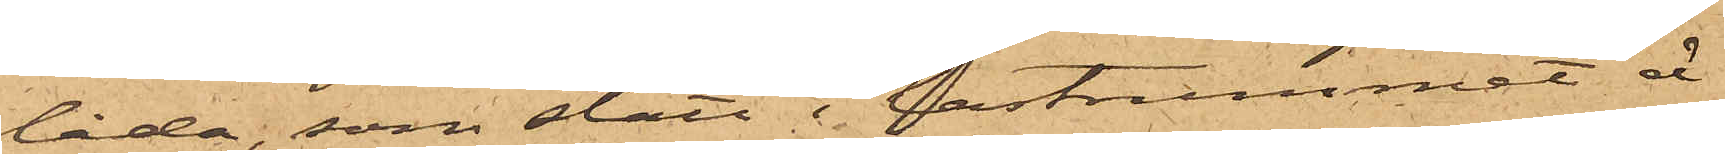låda, som stått i lastrummet å
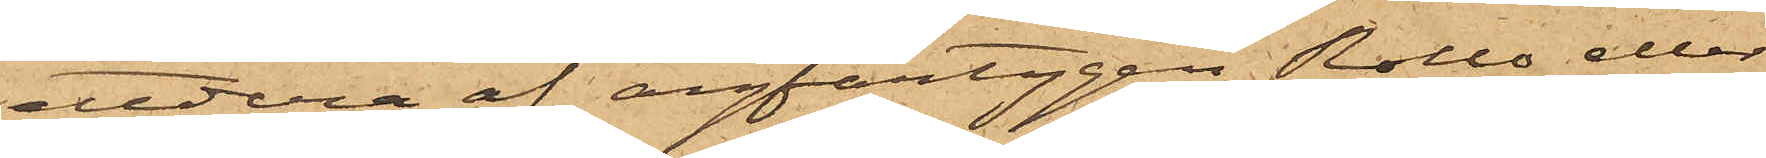ettdera af ångfartygen Rollo eller
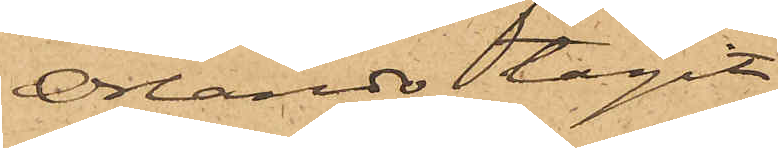Orlando tagit
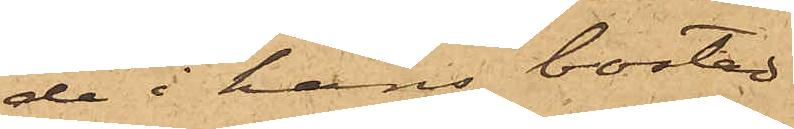de i hans bostad
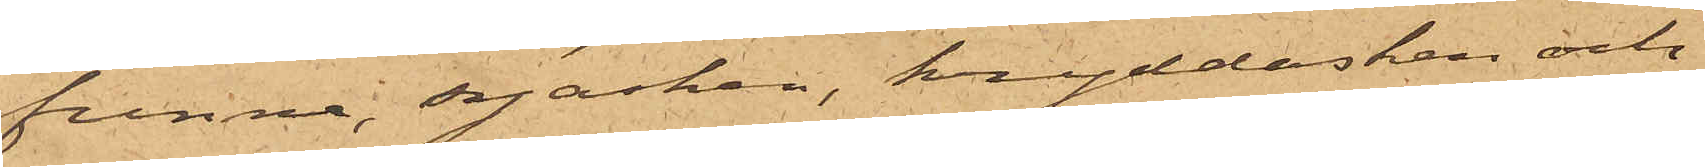funna syasken, kryddasken och
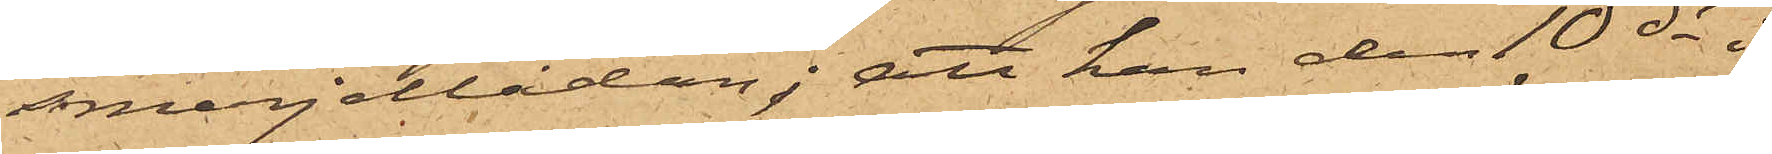smerjellådan; att han den 10 ds i
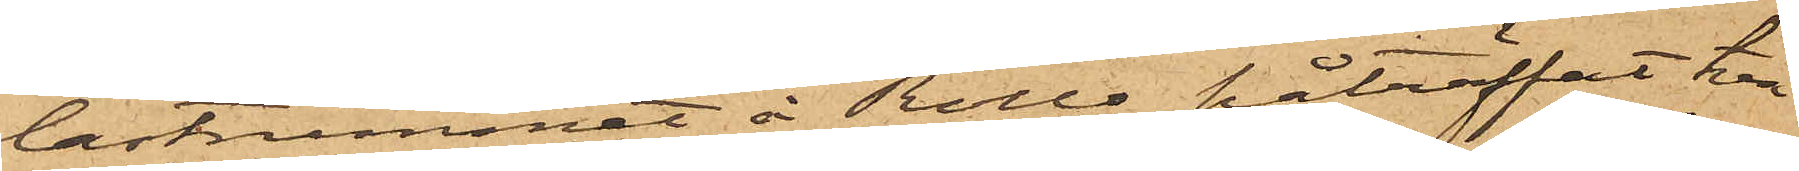lastrummet å Rollo påträffat två
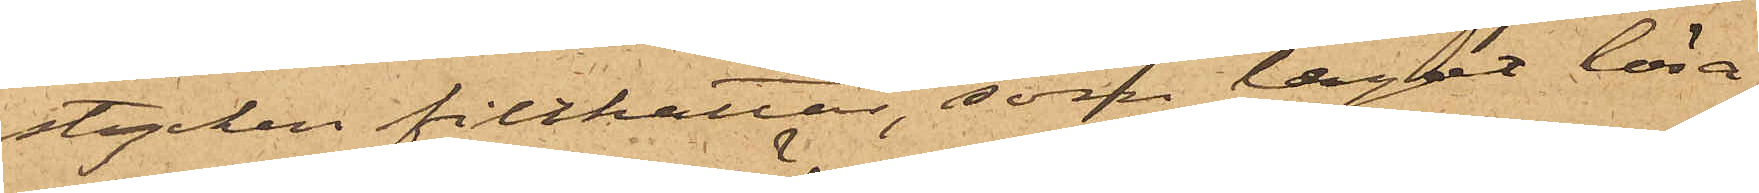stycken filthattar, som legat lösa
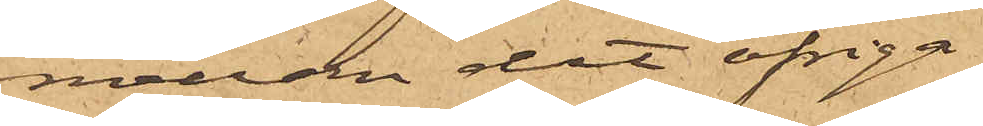mellan det öfriga
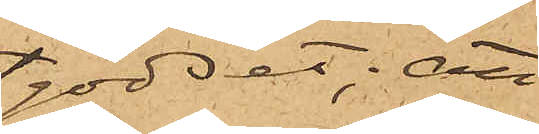godset; att
